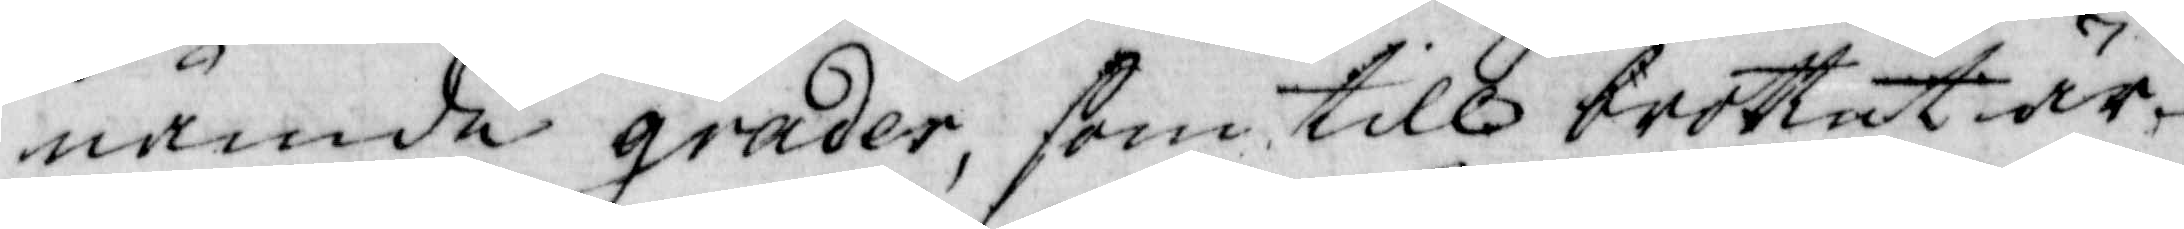nående grader, som till brottet är
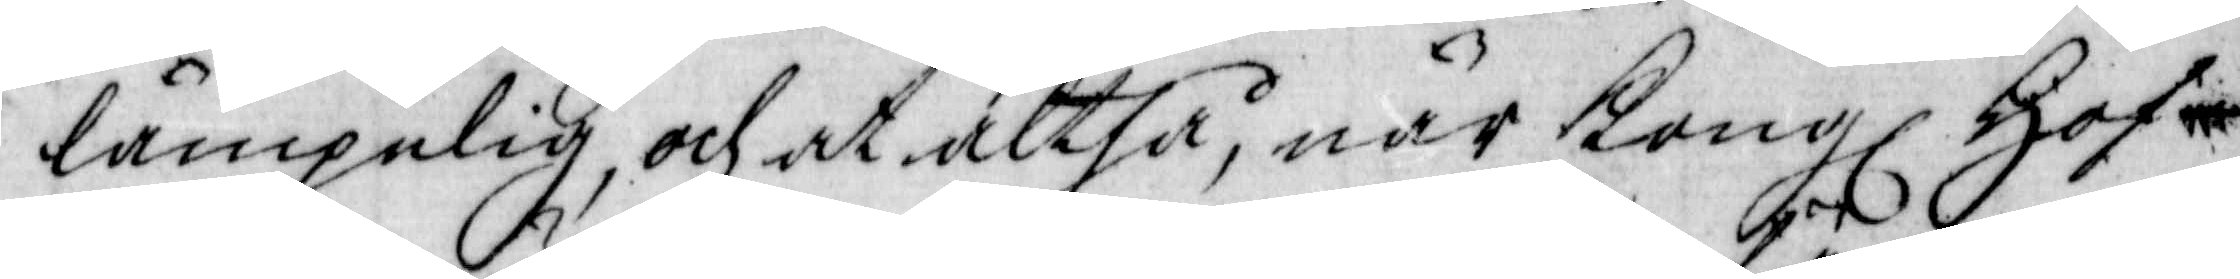lämplig och at altså, när Kongl Hof¬
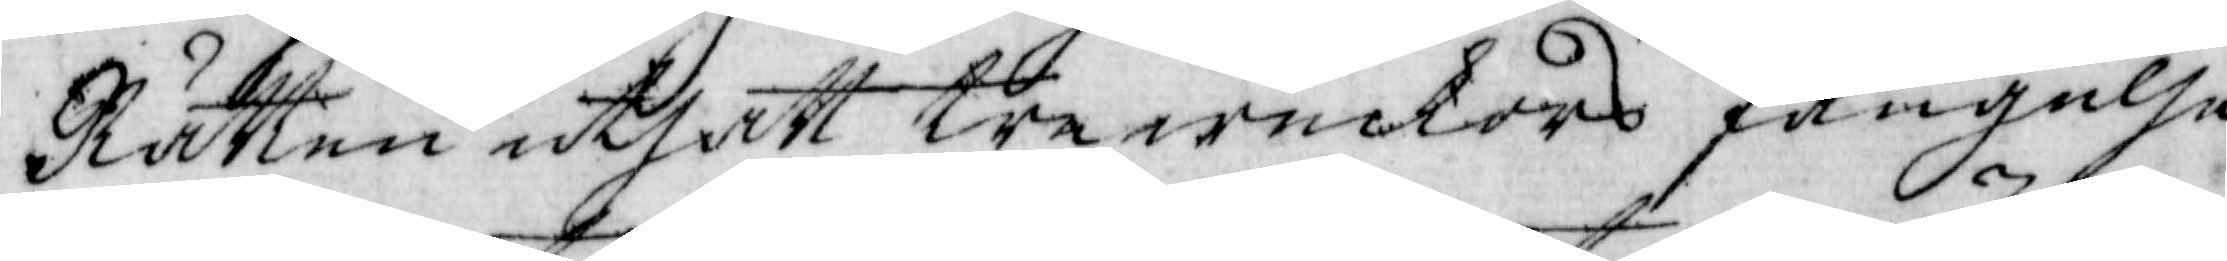Rätten utsatt tre weckors fängelse
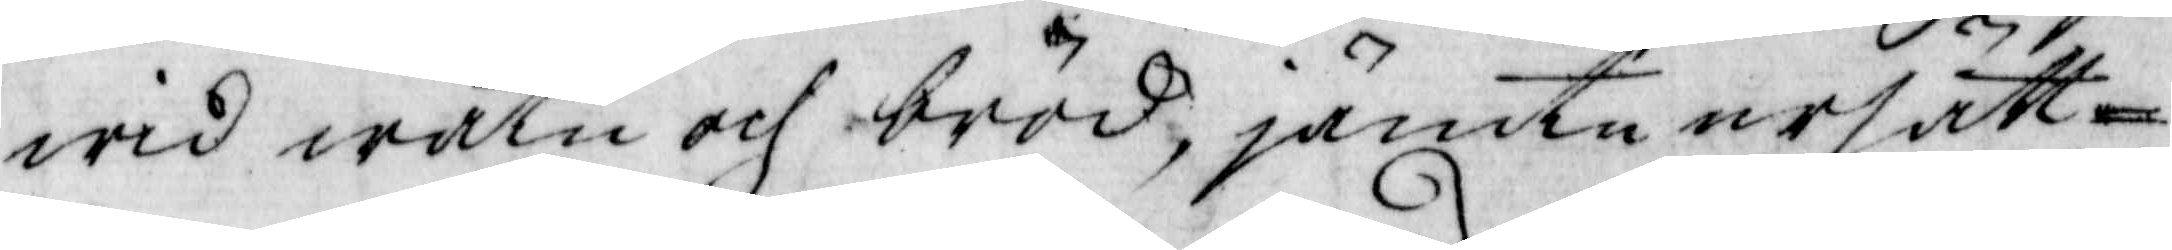wid watn och bröd, jämte ersätt¬
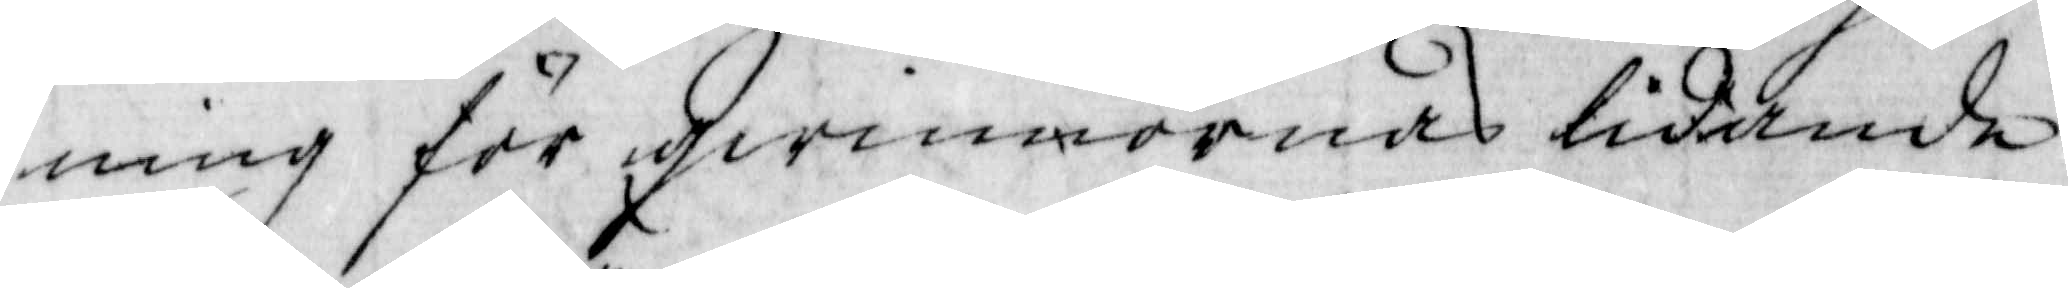ning för qwinnornas lidande,
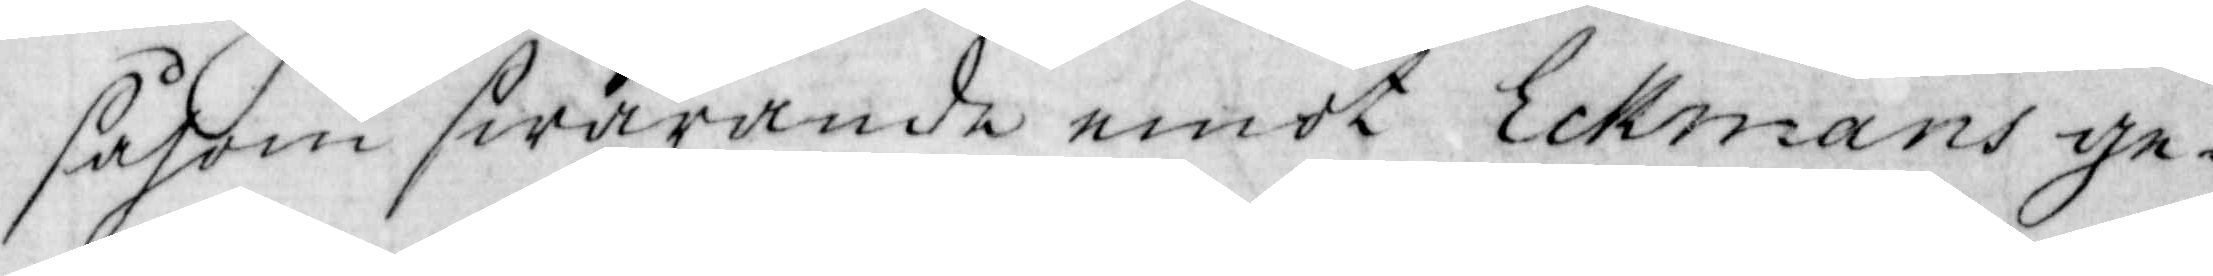såsom swarnade emot Eckmans ge¬
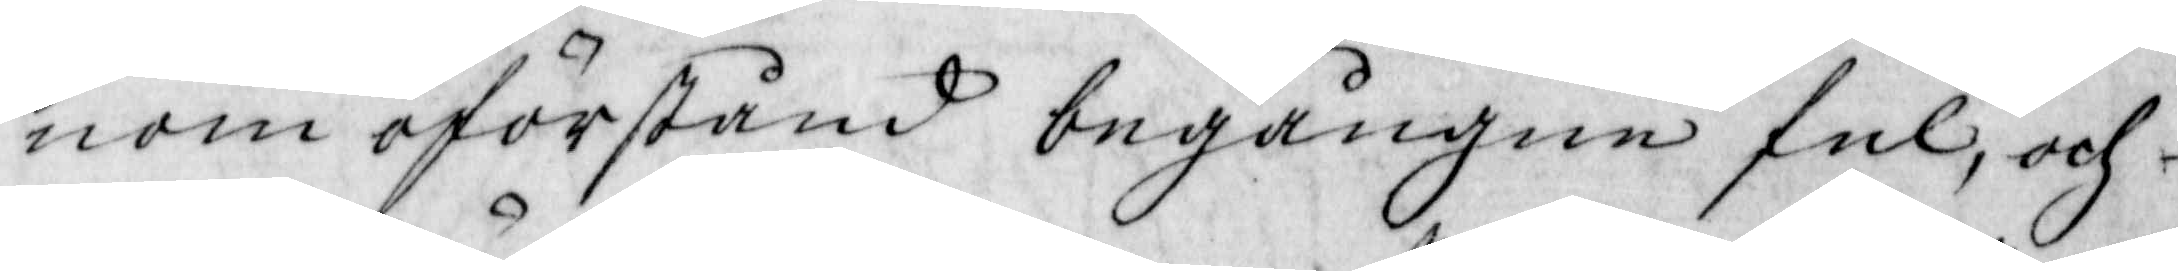nom oförstånd begångne del, och
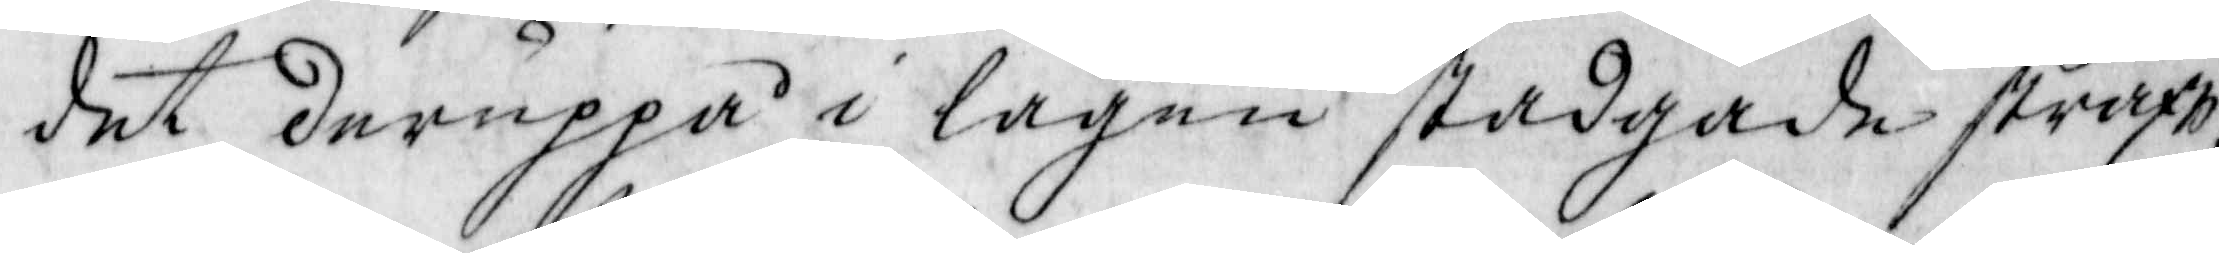det deruppå i lagen stadgade straff,
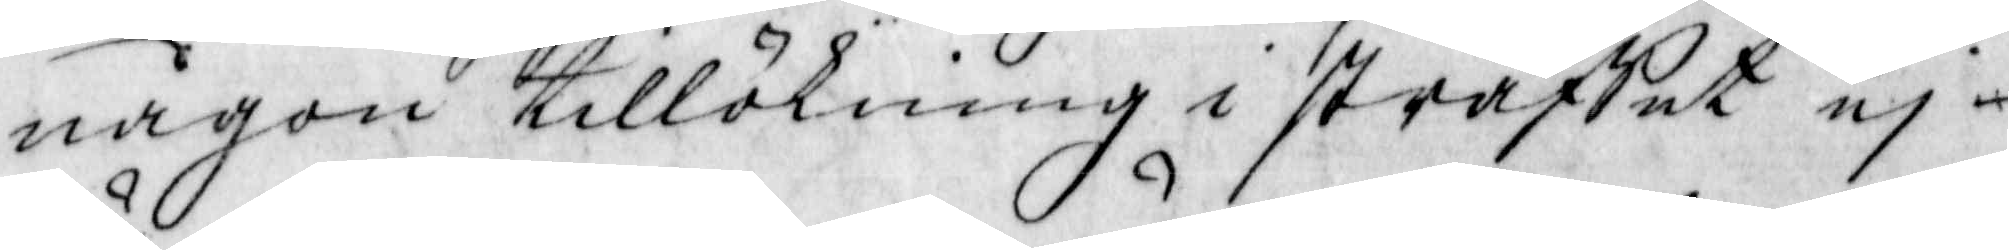någon tillökning i straffet ej
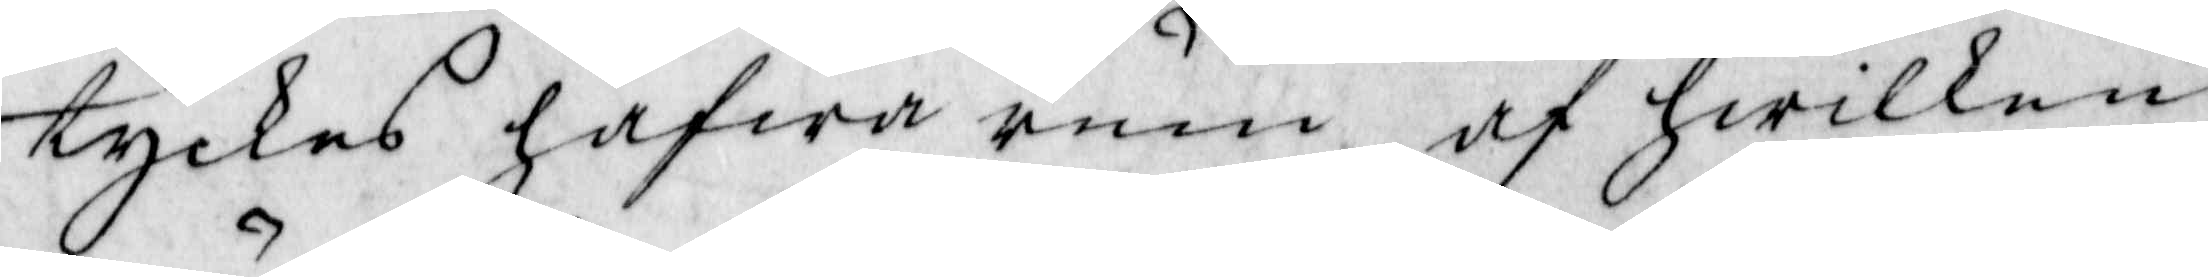tyckes hafwa rum, af hwilken
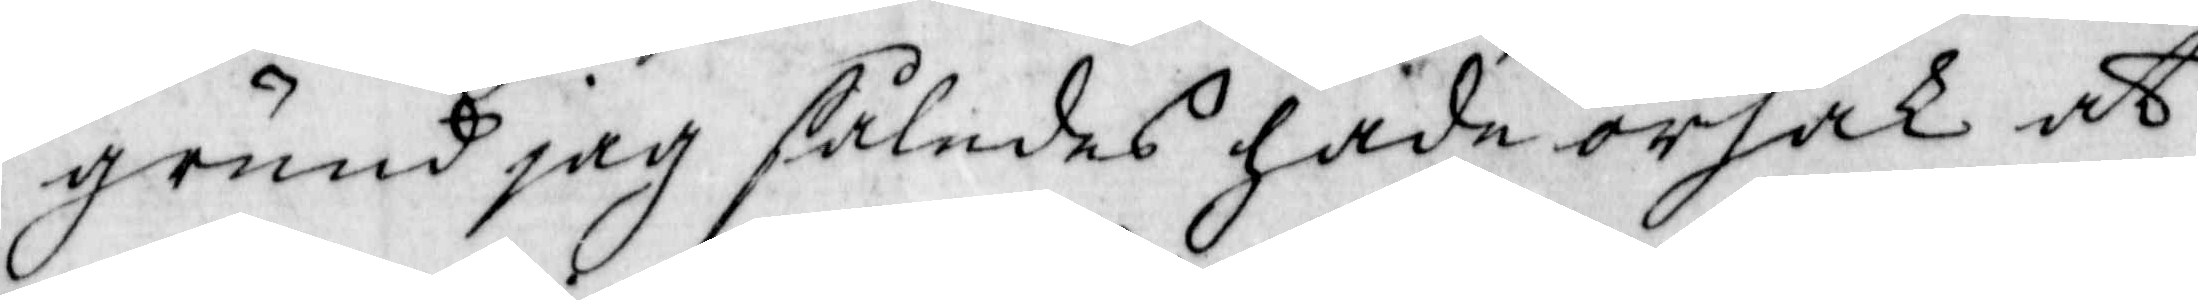grund jag således hade orska at
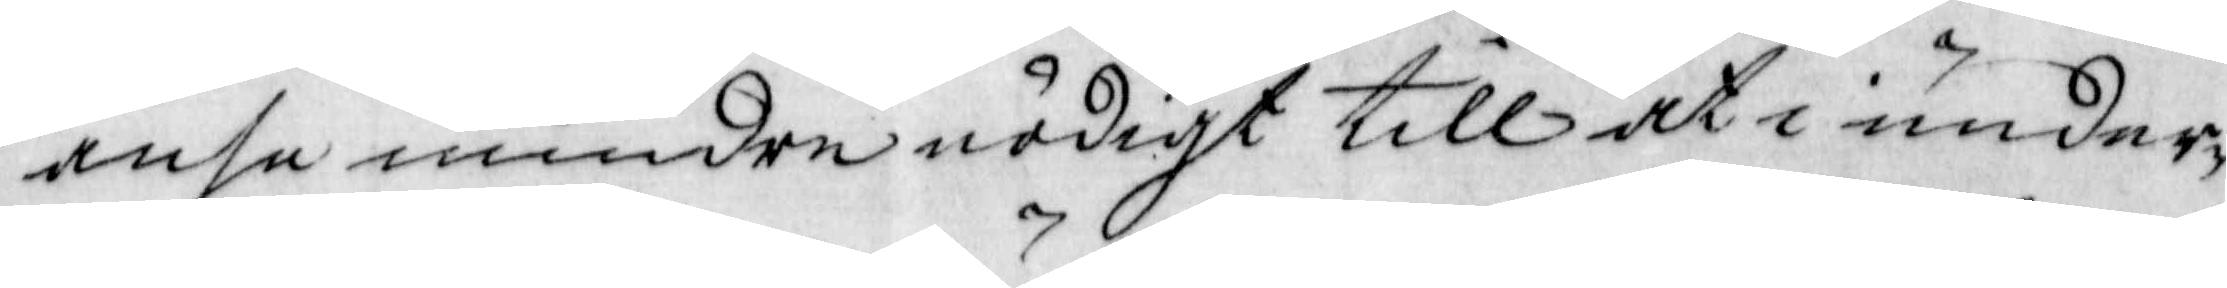anse mindre nödigt till at i under¬
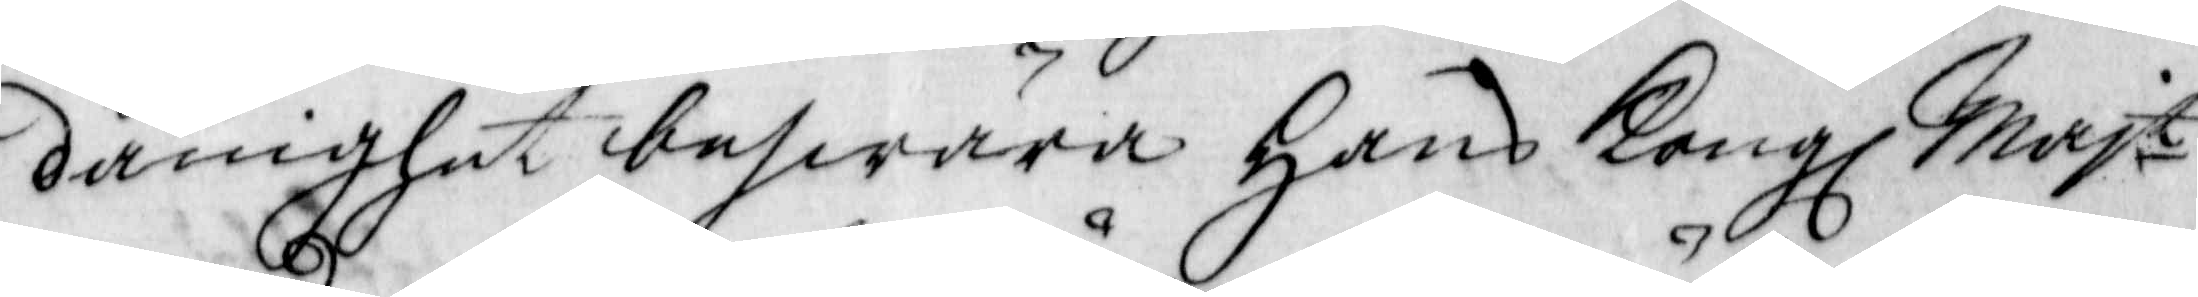dånighet beswära hans Kongl Majt
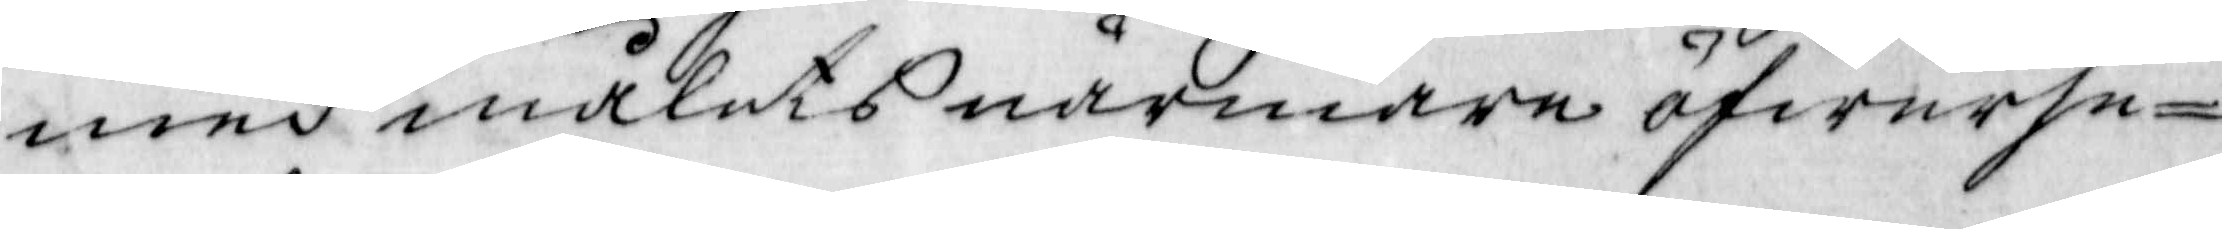med målets närmare öfwerse¬
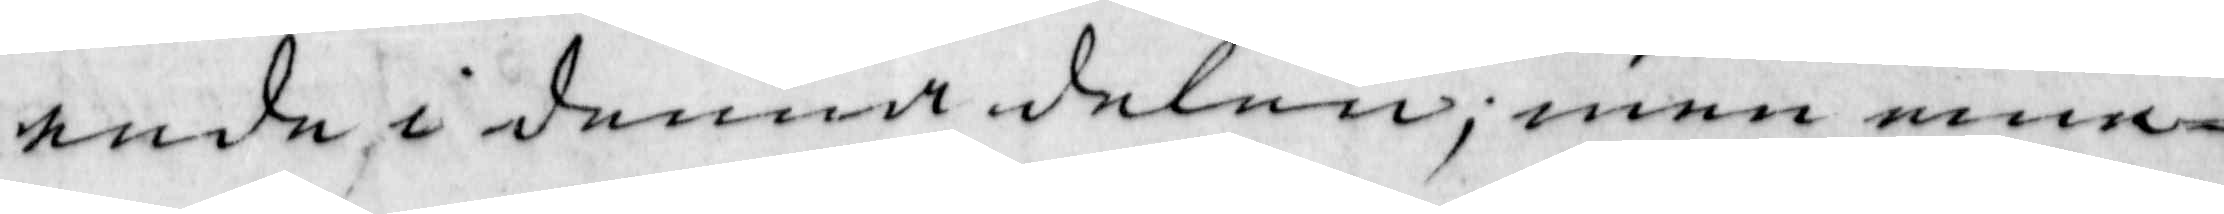ende i denna delen; men me¬
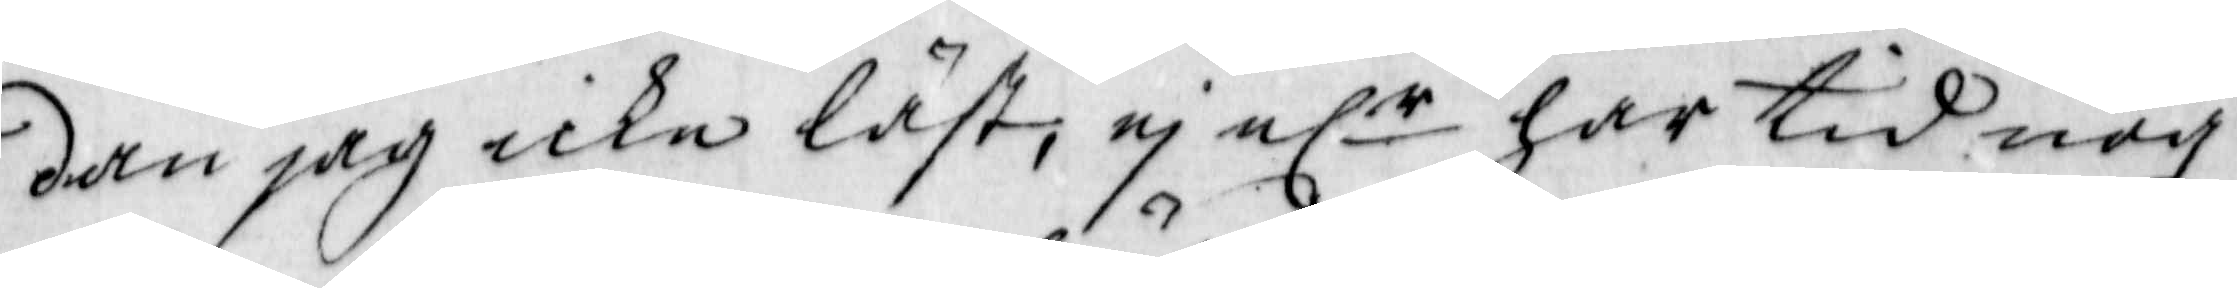dan jag icke läst; ej elr har tid nog
